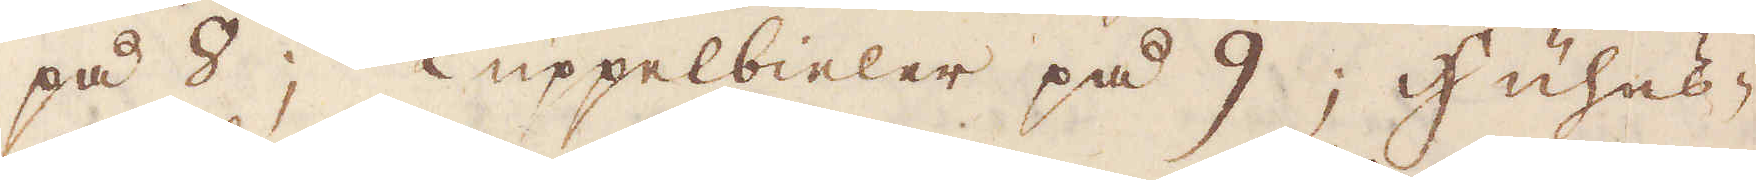på 8; Lüppelbieler på 9; Huhes-
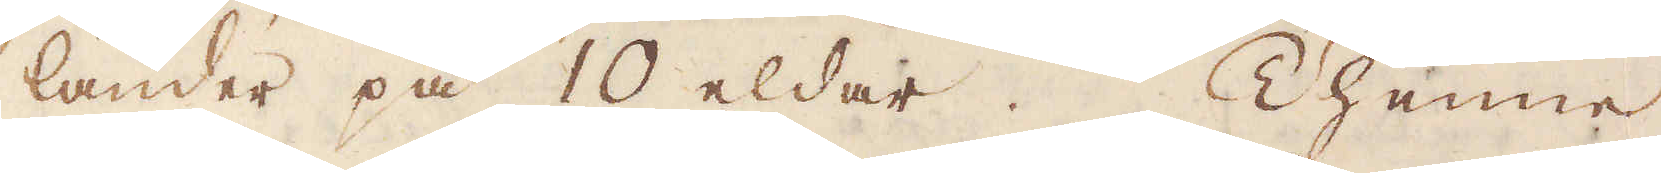länder på 10 eldar. Thenne
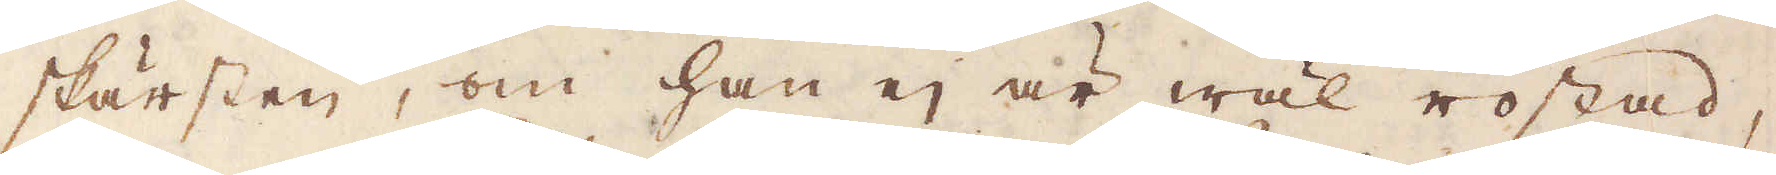skärsten, om han ej är wäl rostad,
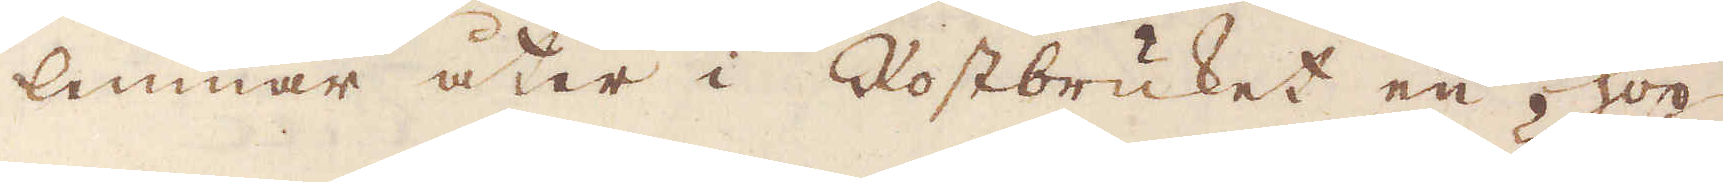lemnar åter i Rostbruket en hop
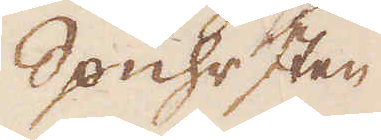Spuhrsten
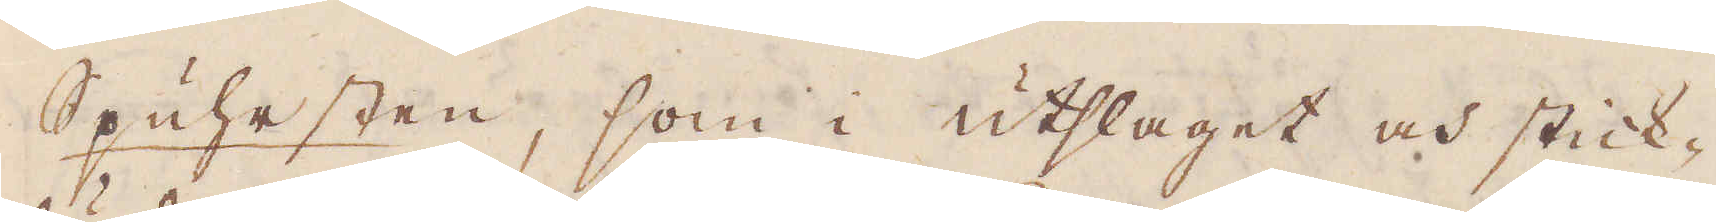Spuhrsten, som i utslaget och stick-
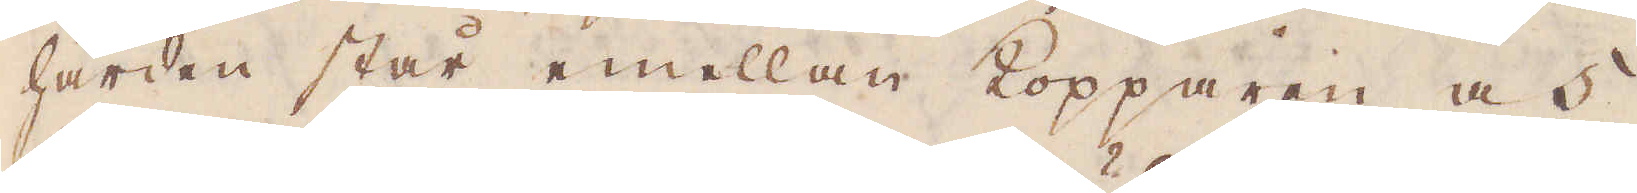härden står emellan Kopparen och
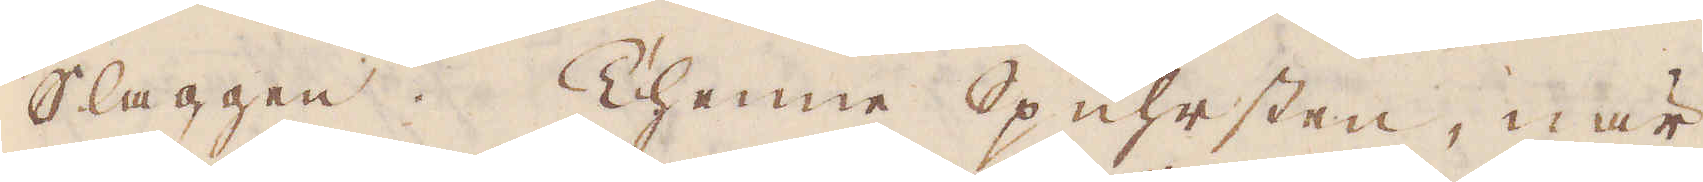Slaggen. Thenne Spuhrsten, när
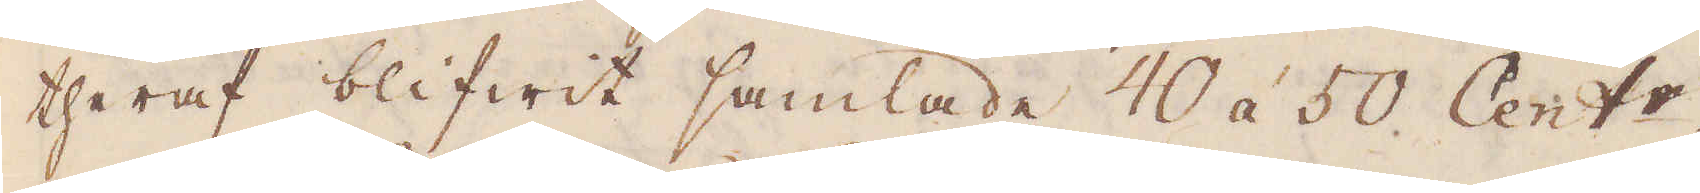theraf blifwit samlade 40 á 50 Cent:r.
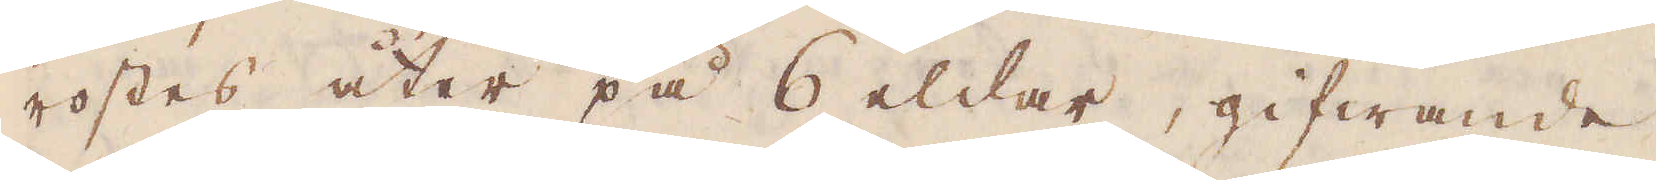rostes åter på 6 eldar, gifwande
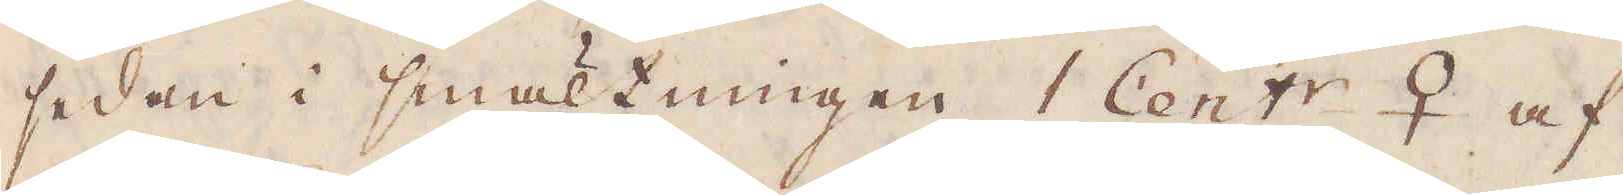sedan i smältningen 1 Cent:r ♀ af
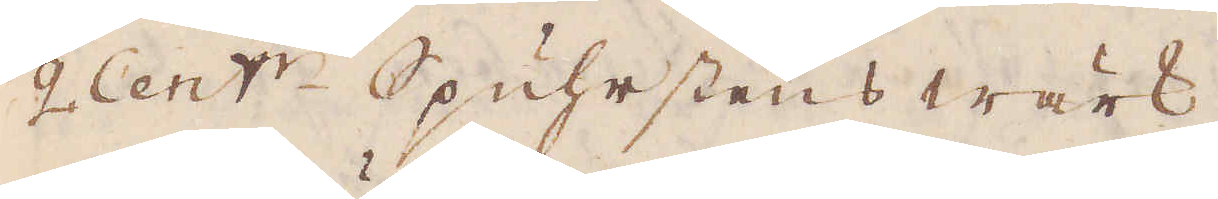2 Cent:r Spuhrstens wärk.
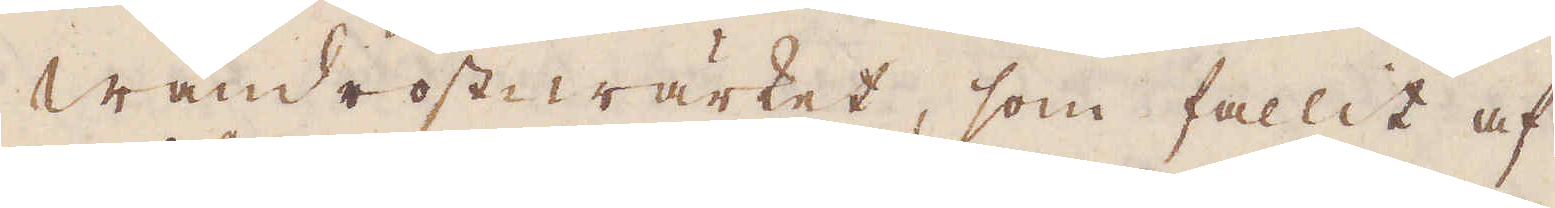Wändrostwärket, som fallit af
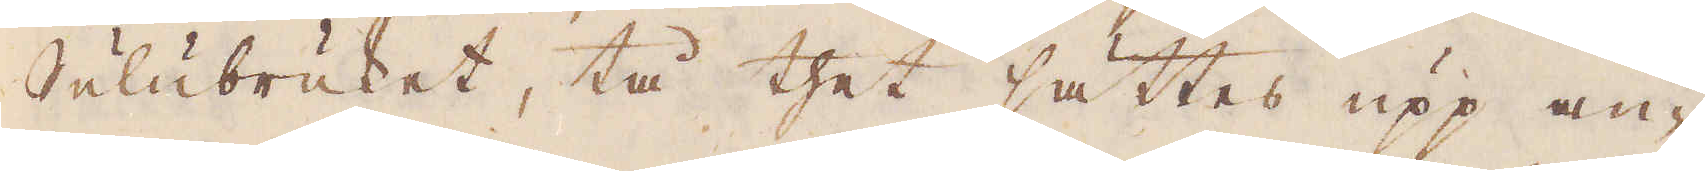Sulubruket, tå thet sättes upp an-
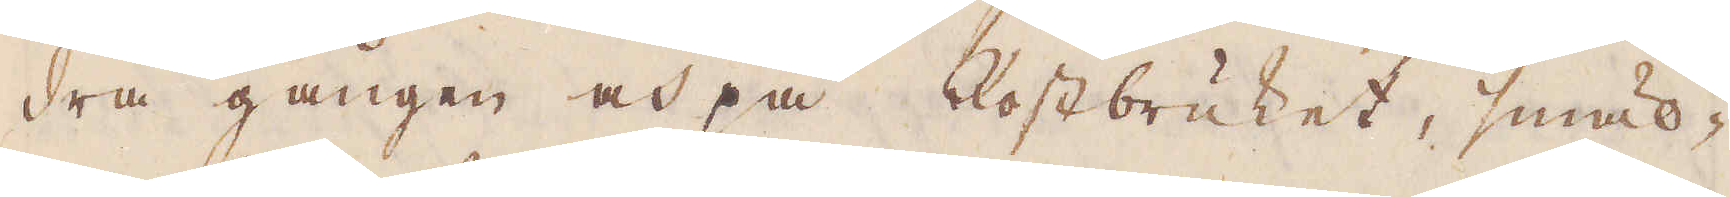dra gången och på Rostbruket, smäl-
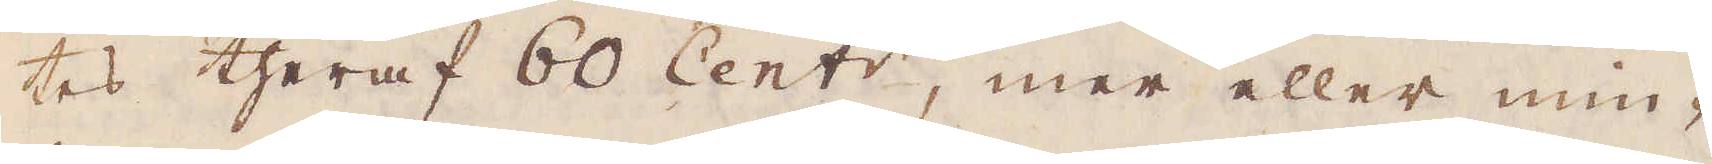tes theraf 60 Cent:r, mer eller min-
